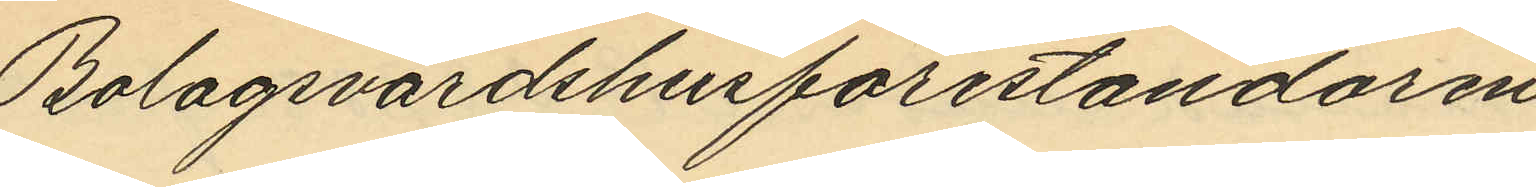Bolagsvärdshusföreståndaren
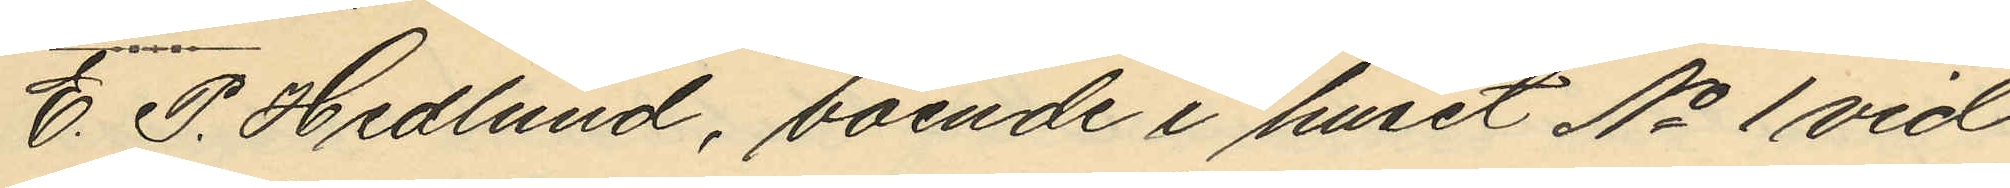E. P. Hedlund, boende i huset No 1 vid
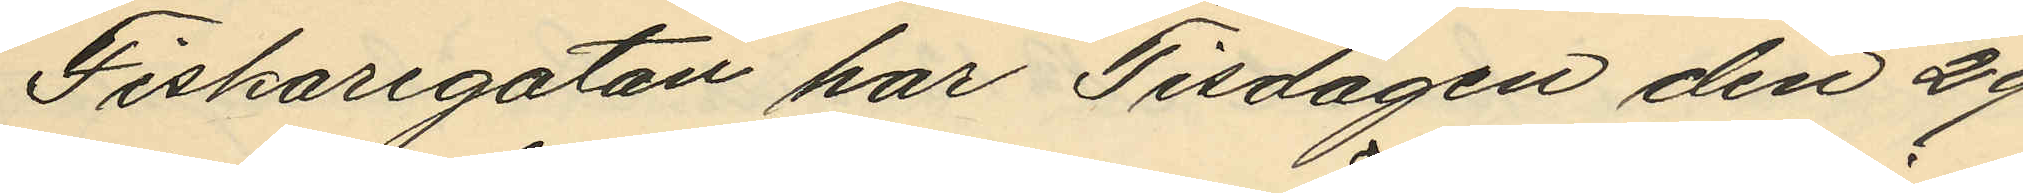Fiskaregatan har Tisdagen den 29
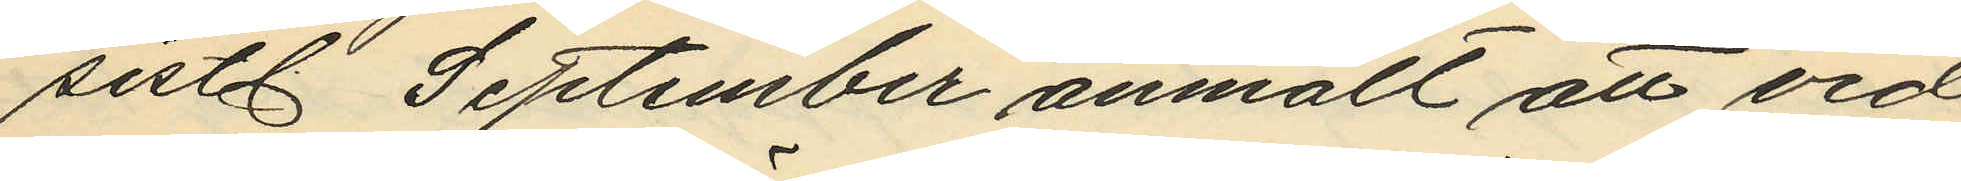sistl. September anmält att vid
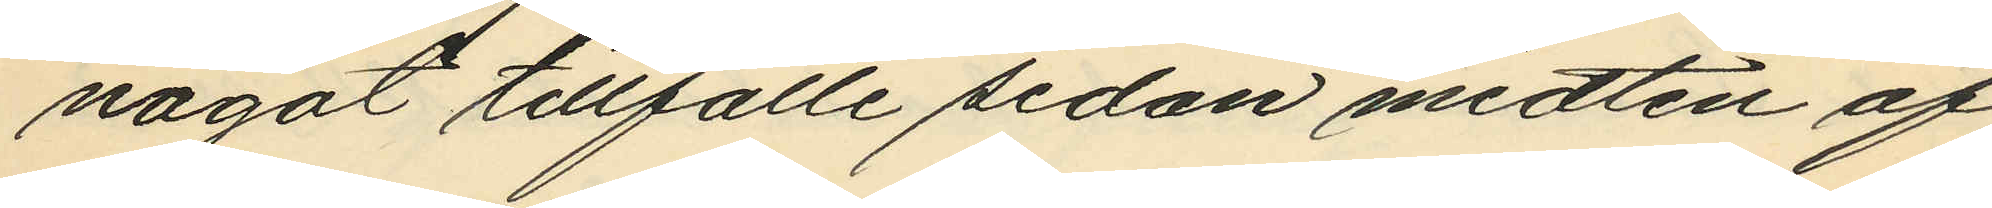något tillfälle sedan midten af
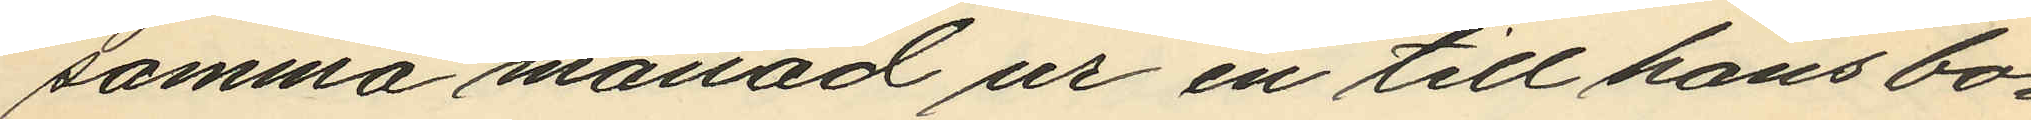samma månad ur en till hans bo¬
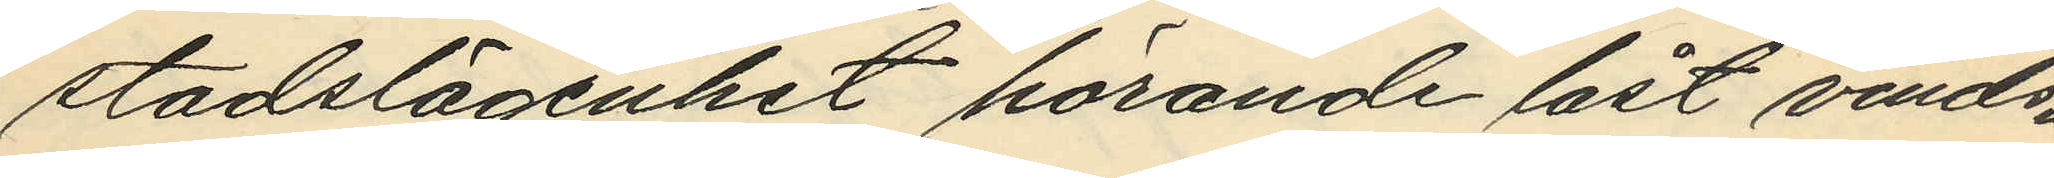stadslägenhet hörande låst vinds¬
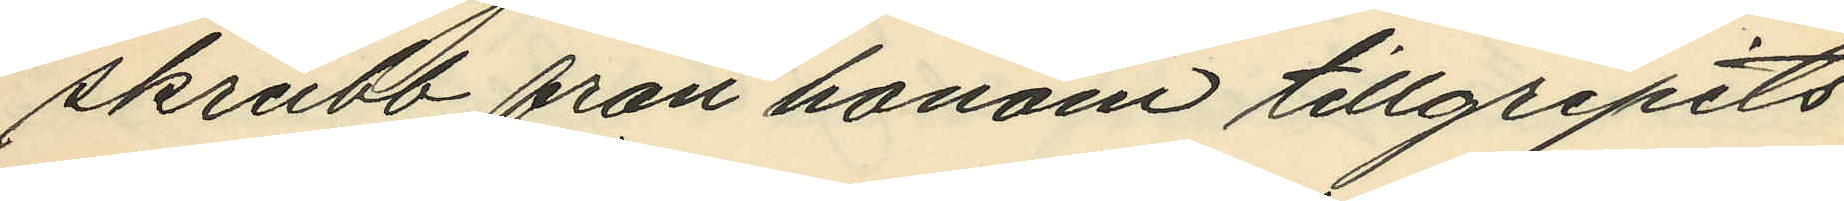skrubb från honom tillgripits
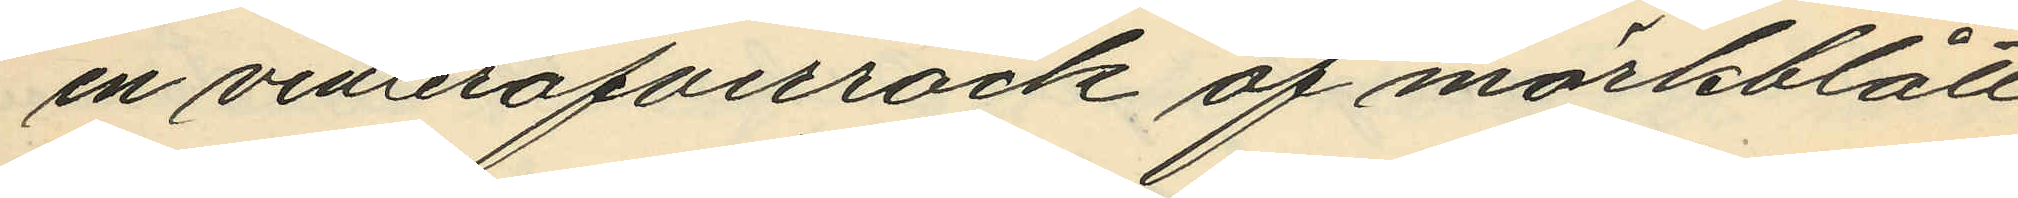en vinteröfverrock af mörkblått
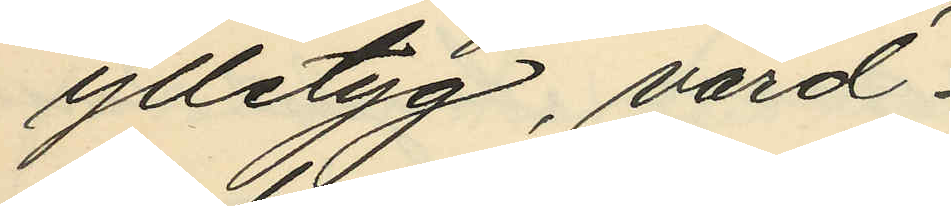ylletyg, värd
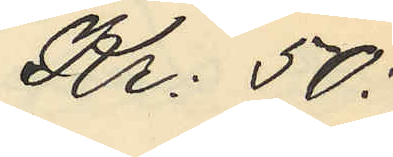Kr: 50:
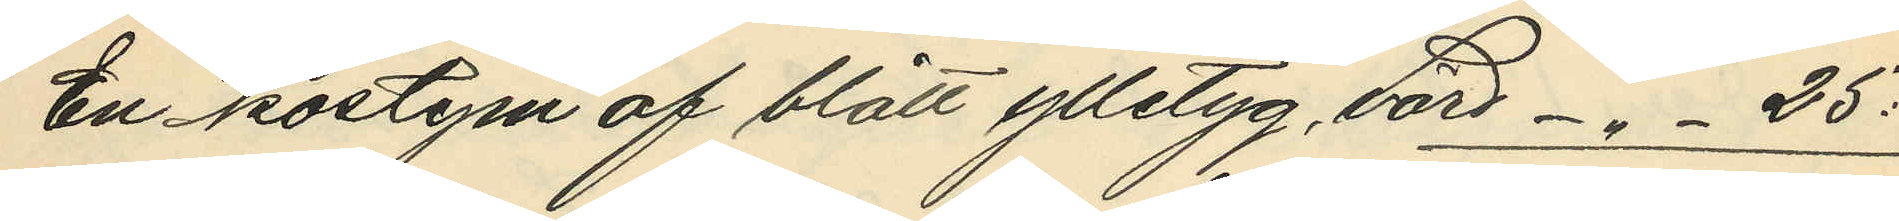En kostym af blått ylletyg, värd -"- 25:
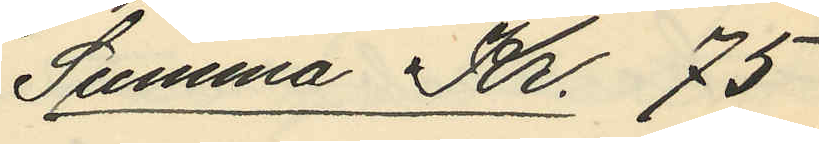Summa Kr. 75
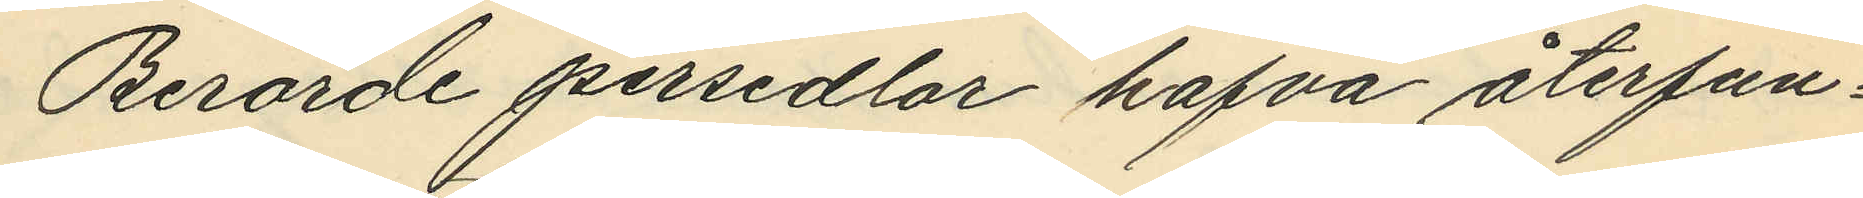Berörde persedlar hafva återfun¬
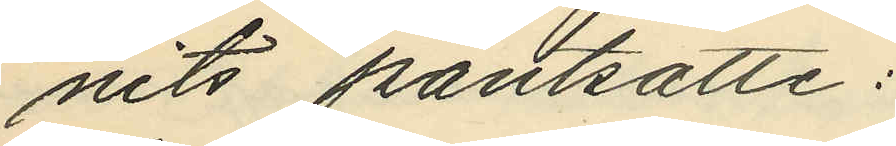nits pantsatte:
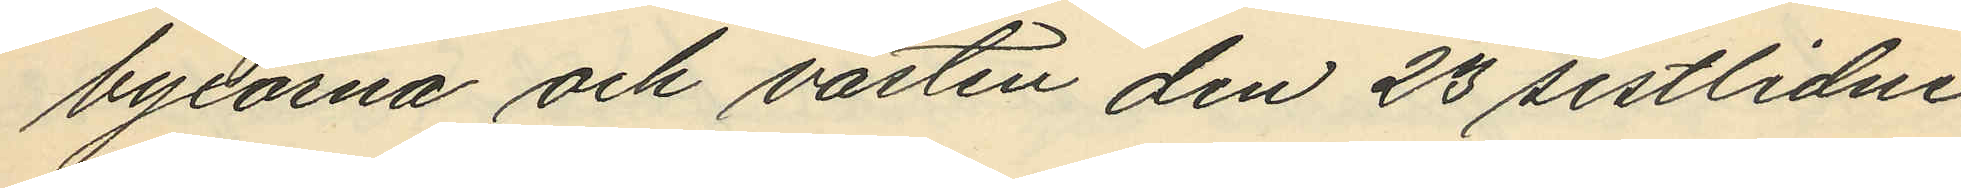byxorna och västen den 23 sistlidne
